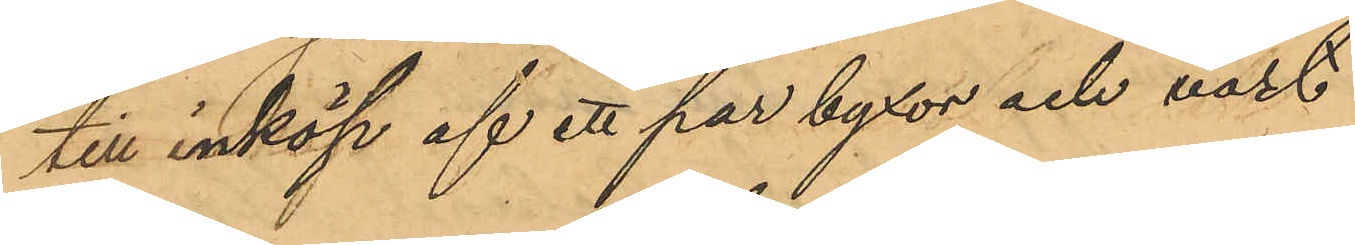till inköp af ett par byxor och väst
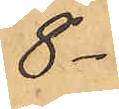8 -
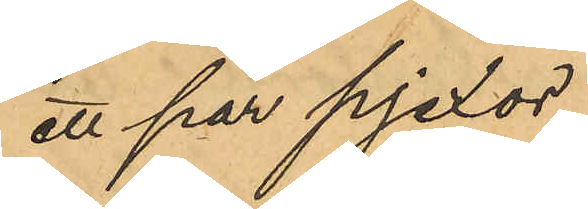ett par pjexor
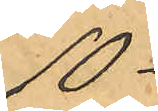10 -
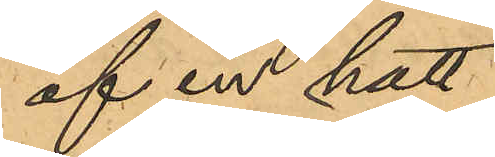af en hatt
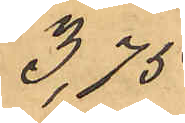3,75
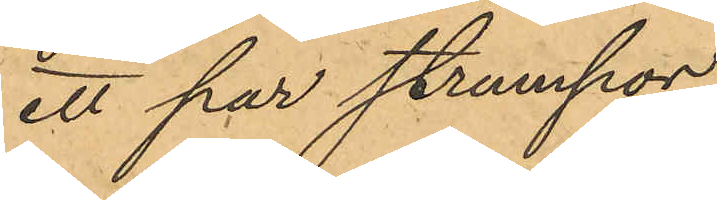ett par strumpor
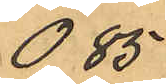0,85
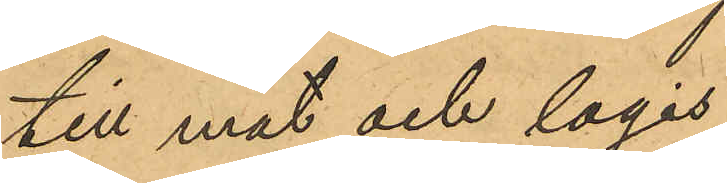till mat och logis
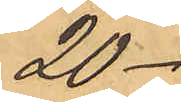20 -
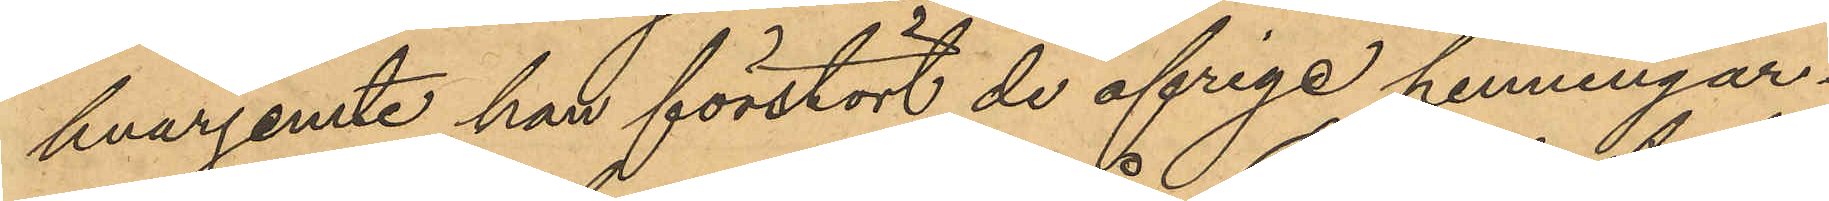hvarjemte han förstört de öfriga penningar¬
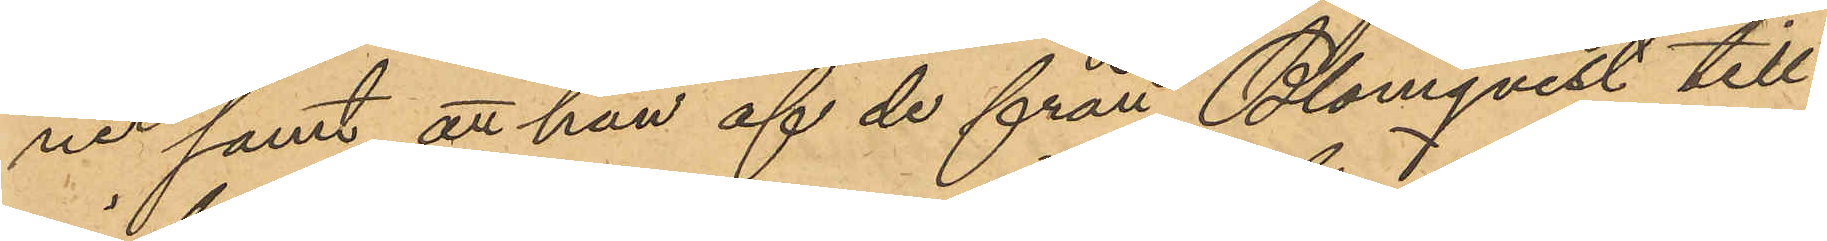ne samt att han af de från Blomqvist till¬
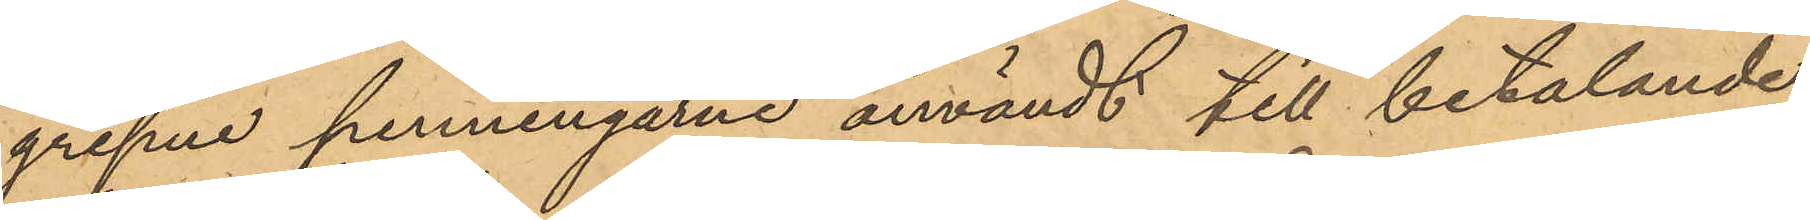gripne penningarne användt till betalande
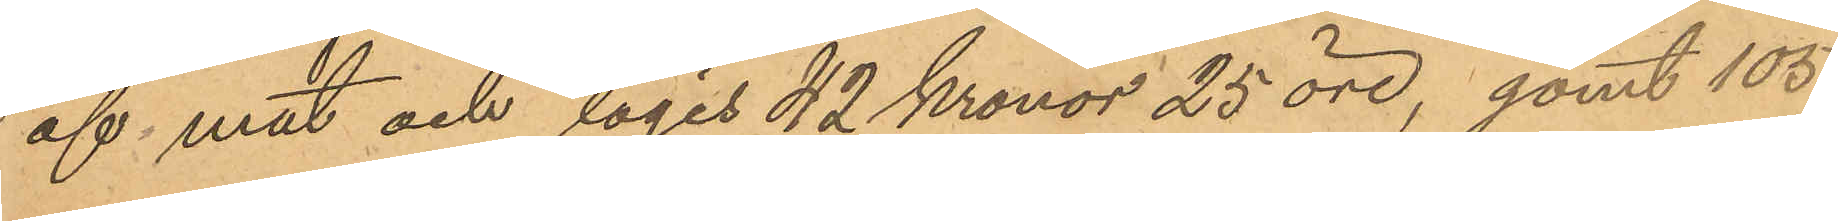af mat och logis 42 Kronor 25 öre, gömt 105
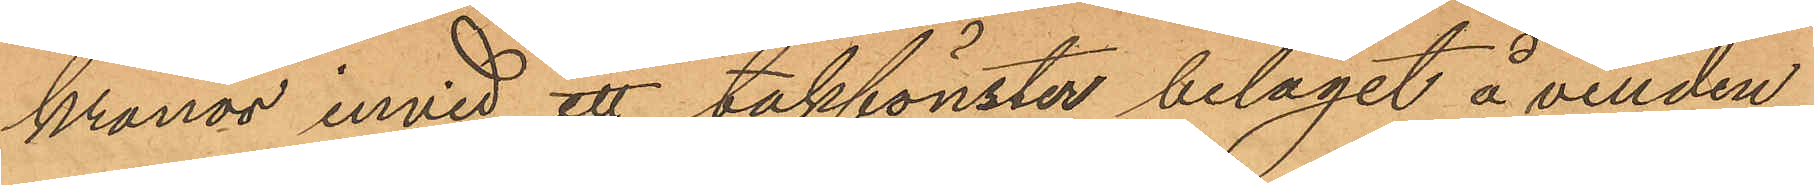kronor invid ett takfönster beläget å vinden
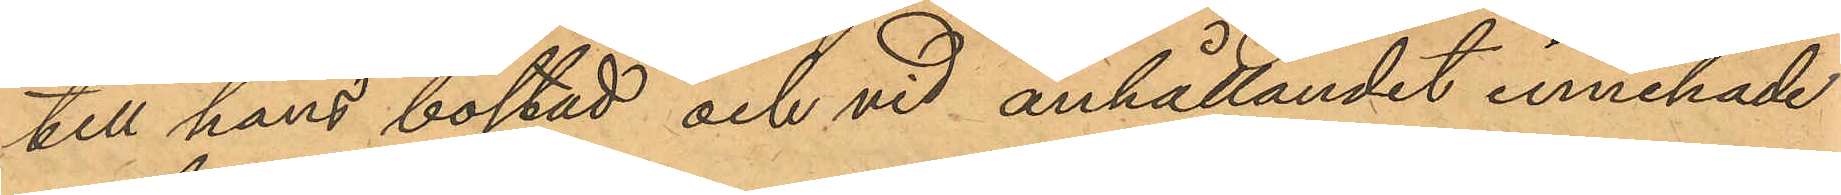till hans bostad och vid anhållandet innehade
